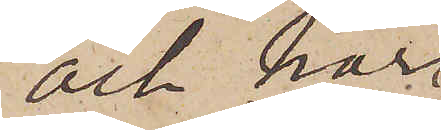och har
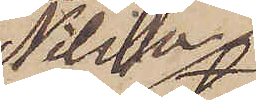Nilsson
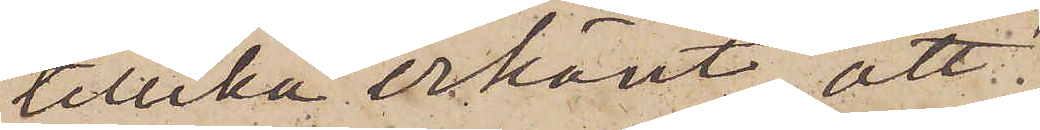tillika erkänt, att
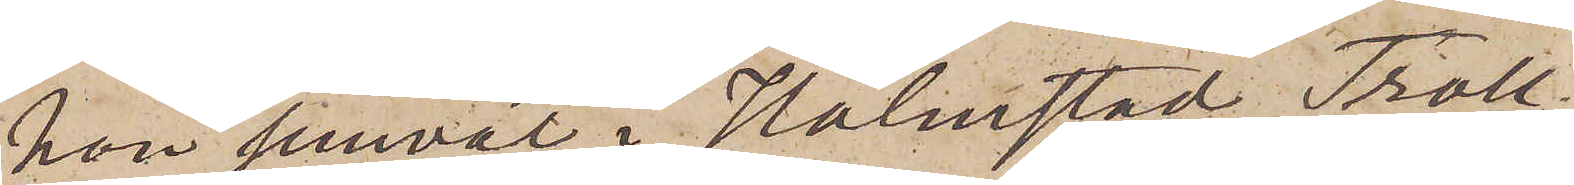han jemväl i Halmstad, Troll¬
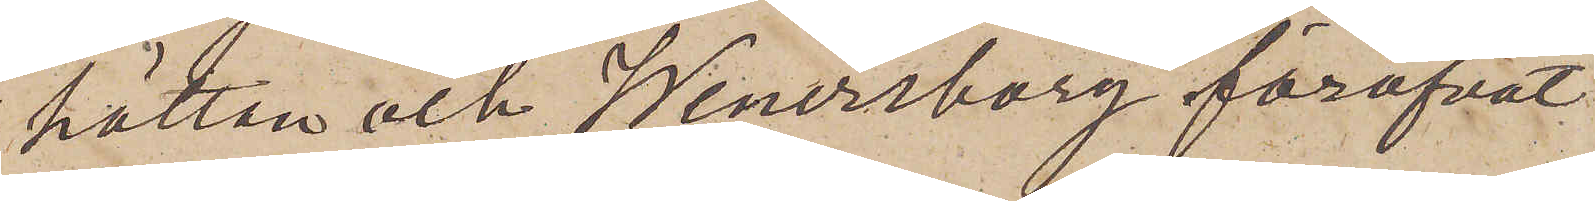hättan och Wenersborg föröfvat
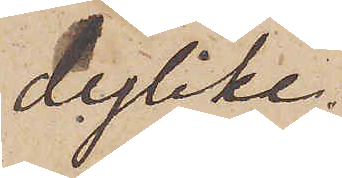dylike.
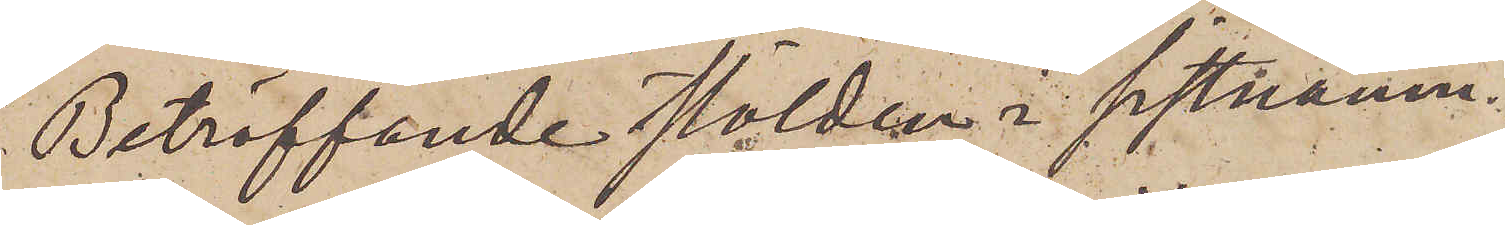Beträffande stölden i sistnämn¬
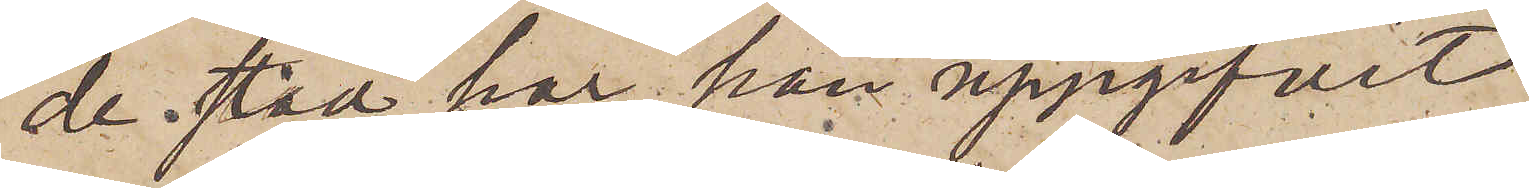de stad har han uppgifvit,
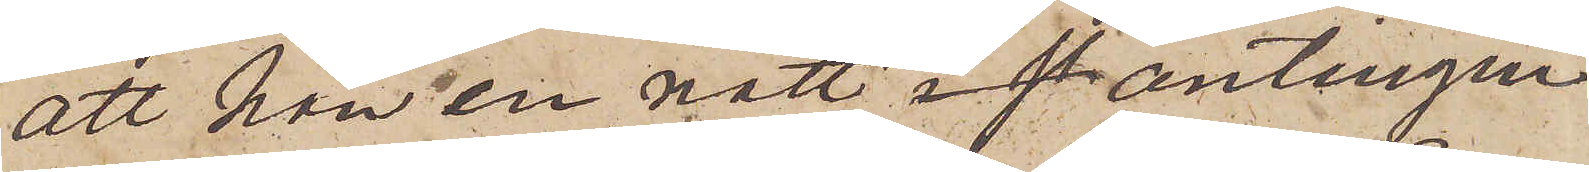att han en natt antingen
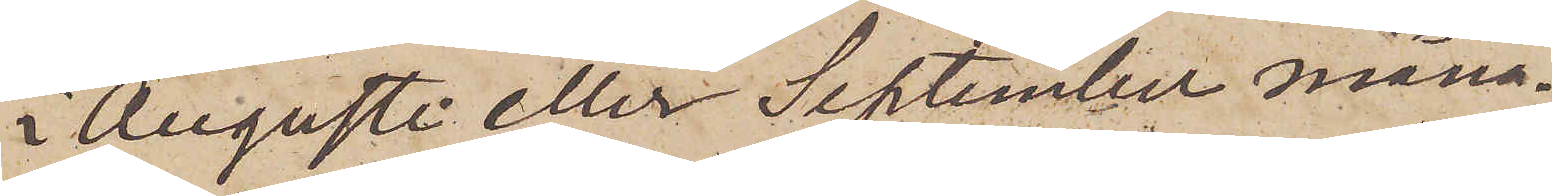i Augusti eller September måna¬
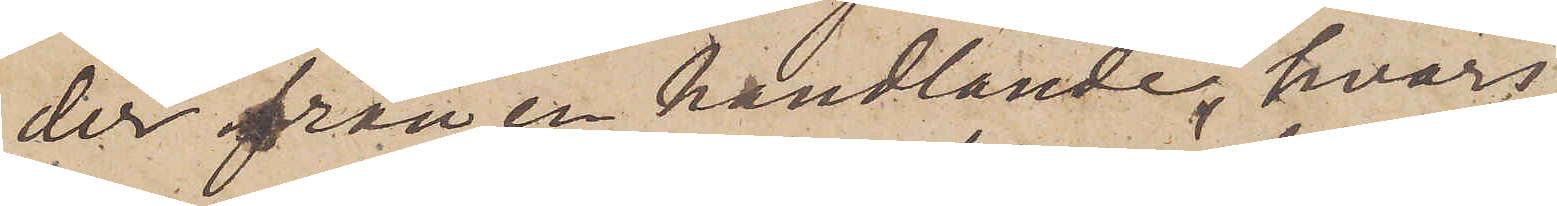der från en handlande, hvars
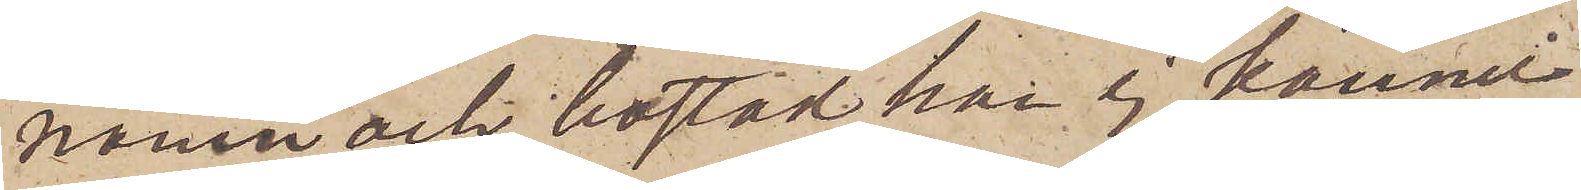namn och bostad han ej kännde
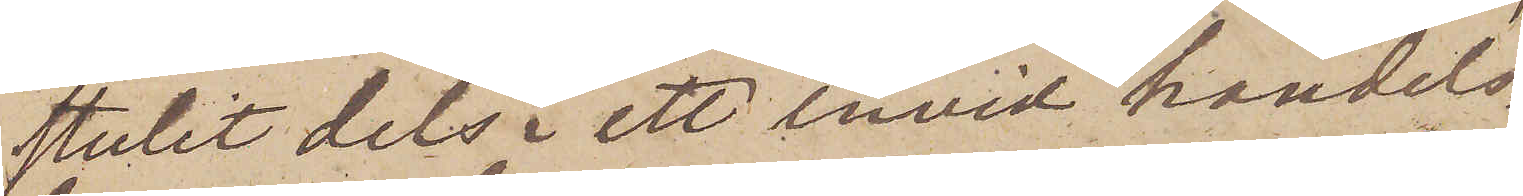stulit dels i ett invid handels¬
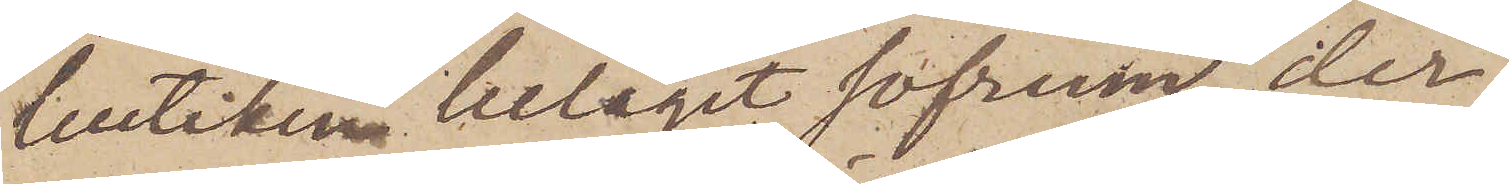butiken beläget sofrum, der
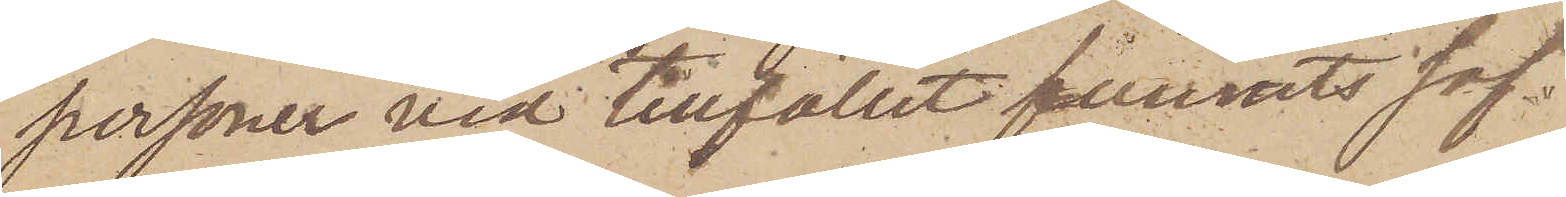personer vid tillfället funnits sof¬
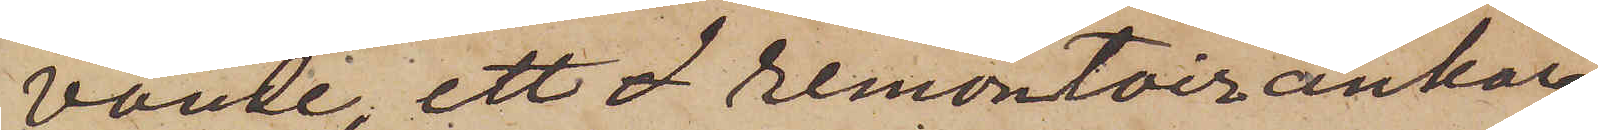vande, ett  remontoirankar¬
